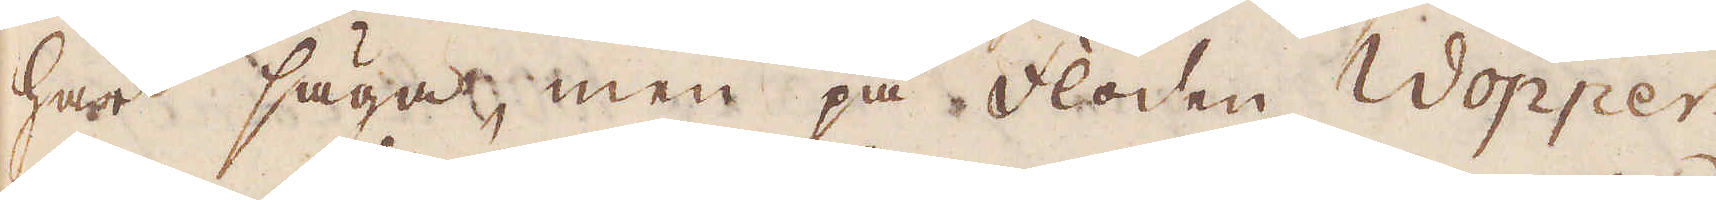här säga, men på floden Wopper
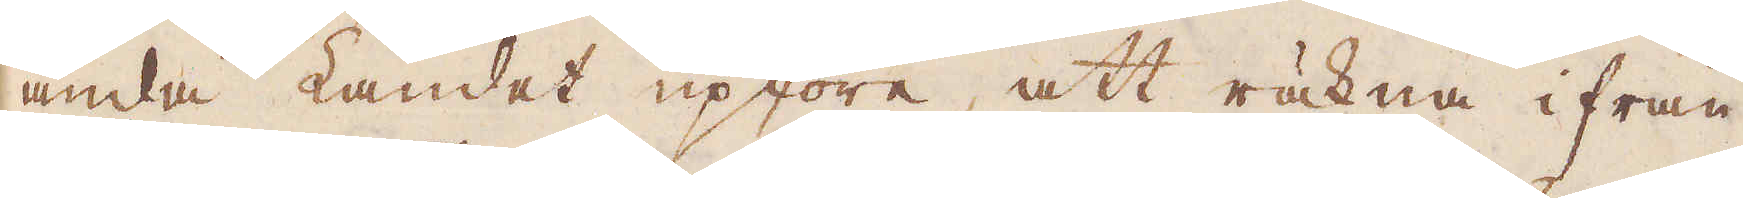ända Landet upföre, att räkna ifrån
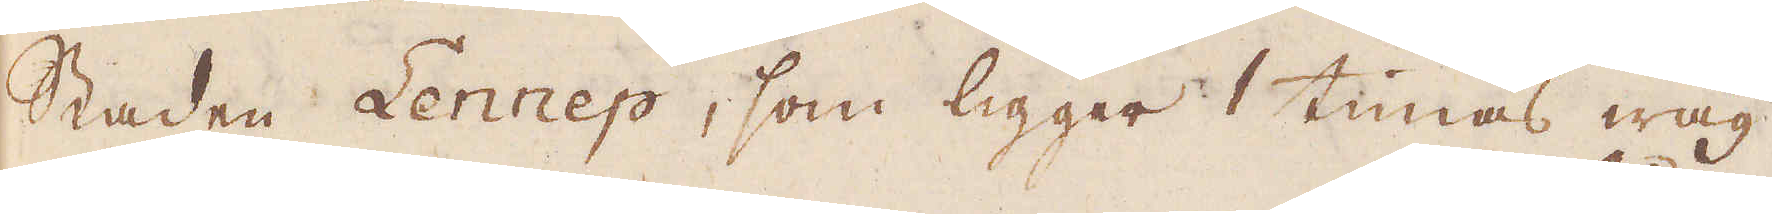staden Lennep, som ligger 1 timas wäg
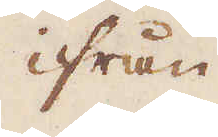ifrån
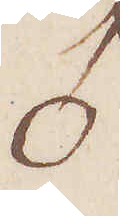♂
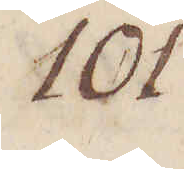101.
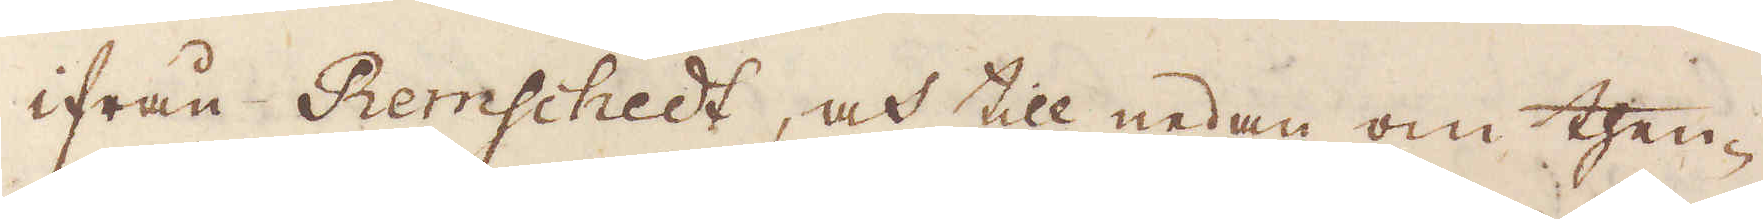ifrån Remschedt, och till nedan om then-
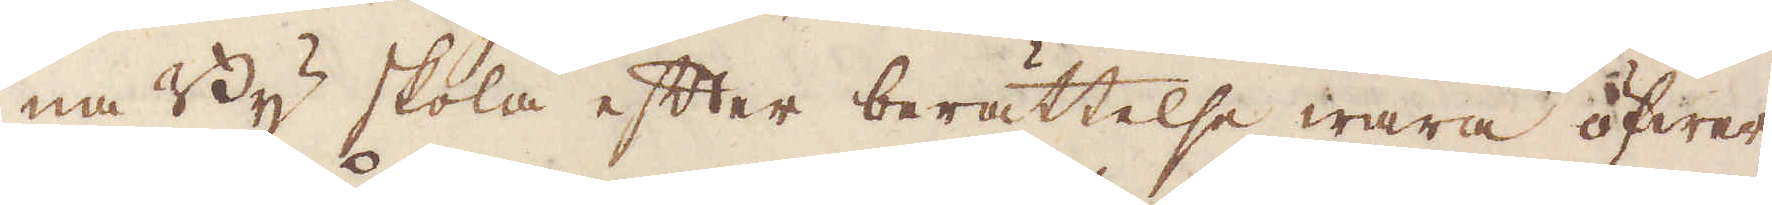na By skola efter berättelse wara öfwer
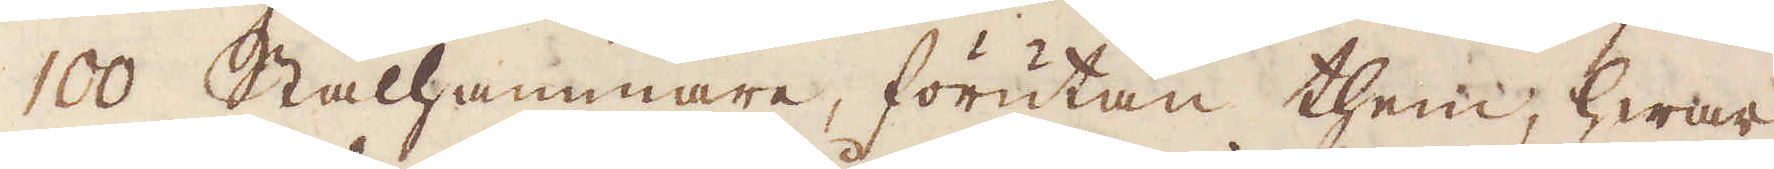100 Stålhammare, förutan them, hwar
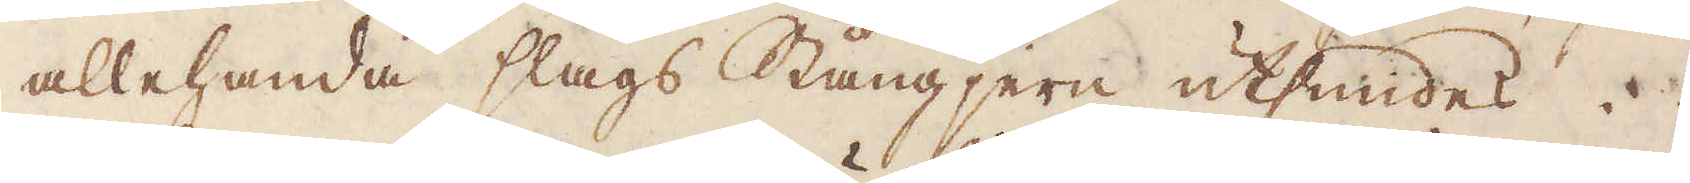allehanda slags Stångjern utsmides.
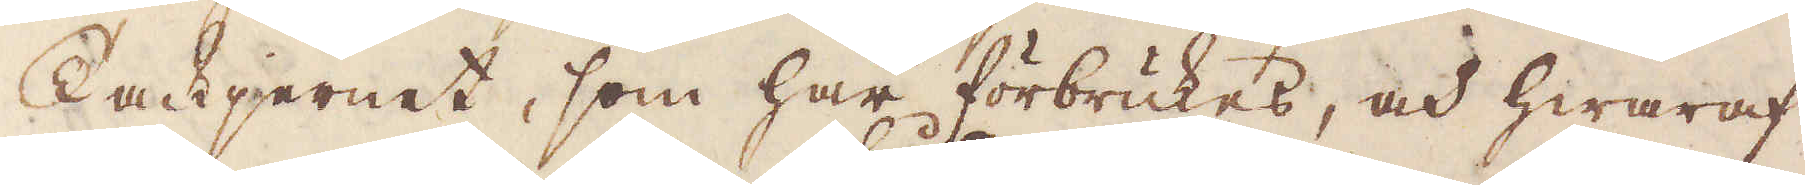Tackjernet, som här förbrukes, och hwaraf
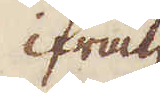ifrån
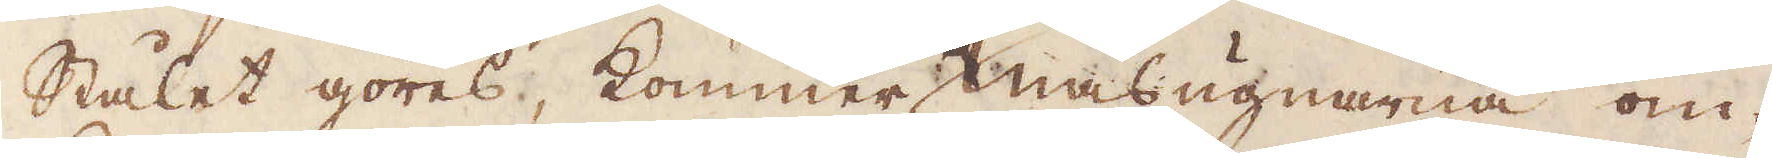Stålet göres, kommer masugnarna om-
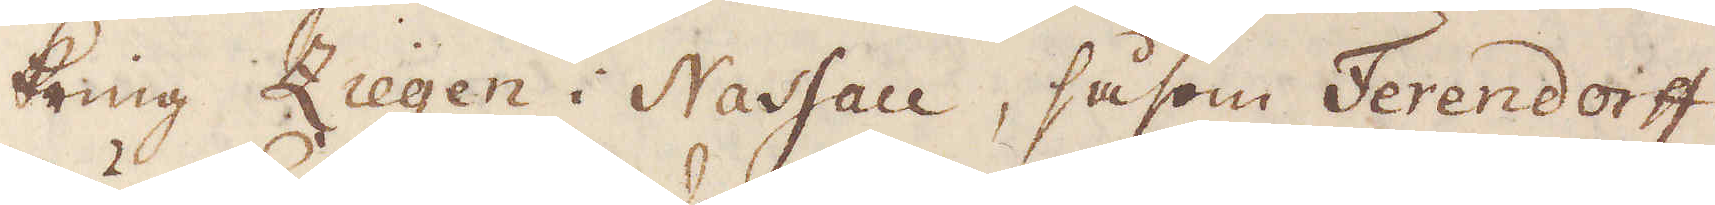kring Ziegen i Nassau, såsom Ferendorff,
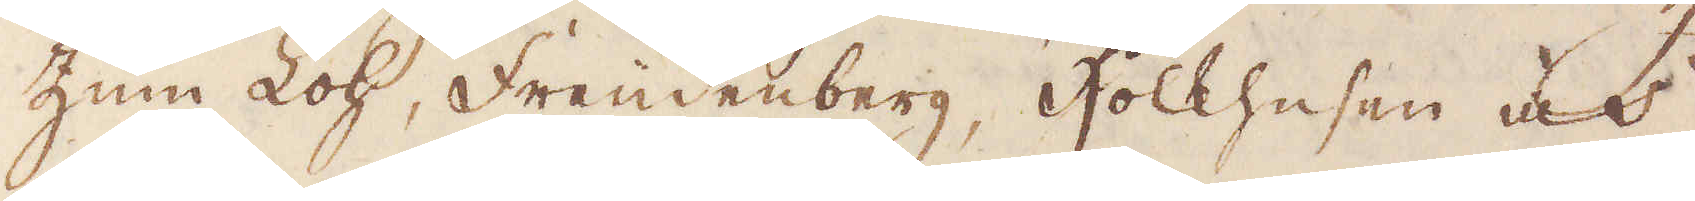Zum Loh, Freudenberg, Hockhesen och
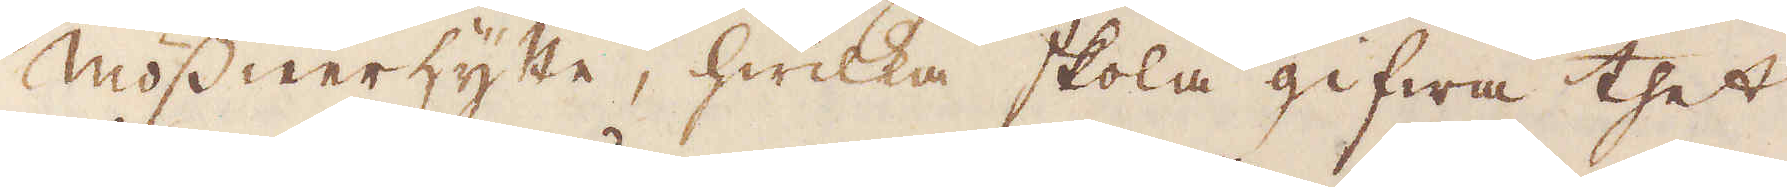Mössnerhytte, hwilka skola gifwa thet
